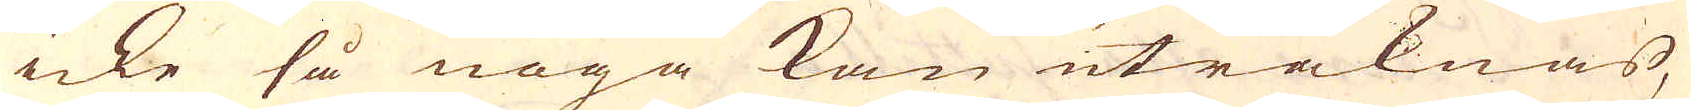icke så noga kan uträknas,
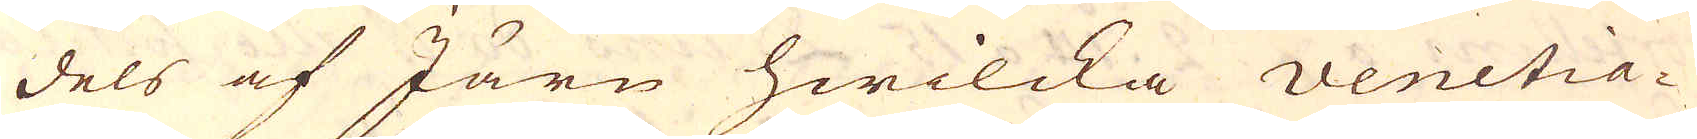dels af Järn hwilcka venetia-
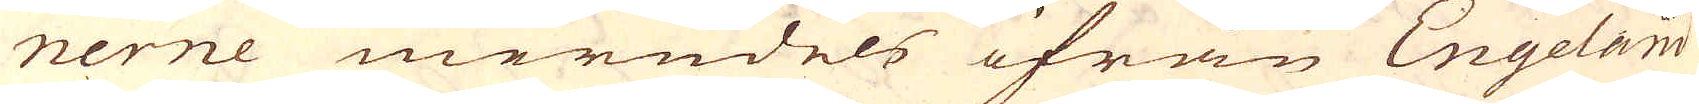nerne merndels ifrån Engeland
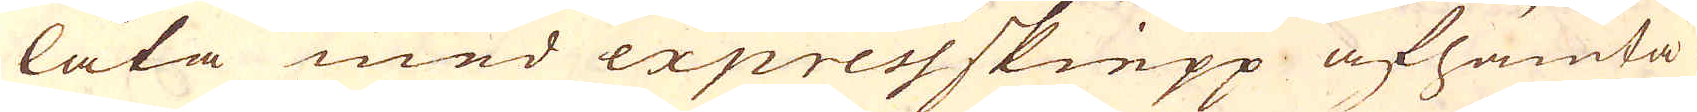låta med express skiepp afhämta
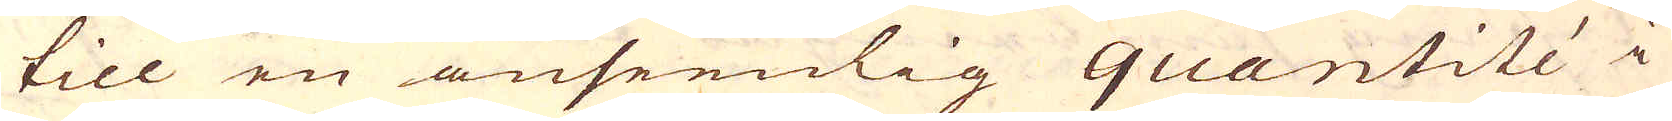till en anseenlig quantité i
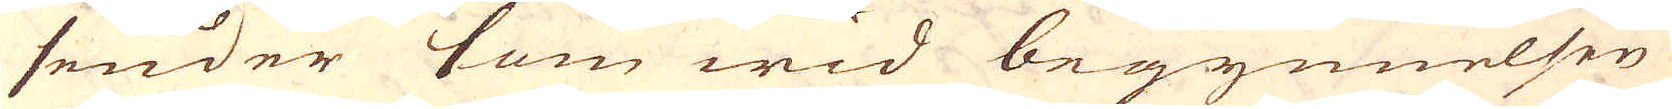sender som wid begynnelsen
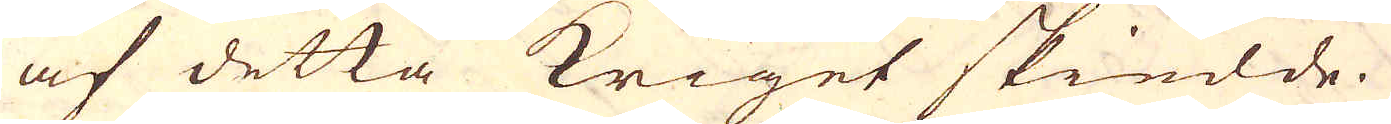af detta kriget skiedde.
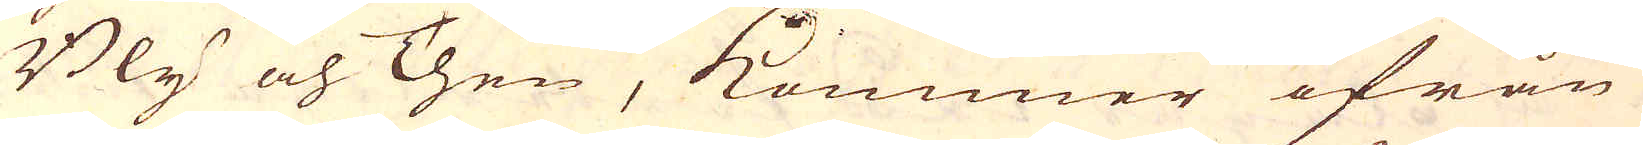Bly och Then, kommer ifrån
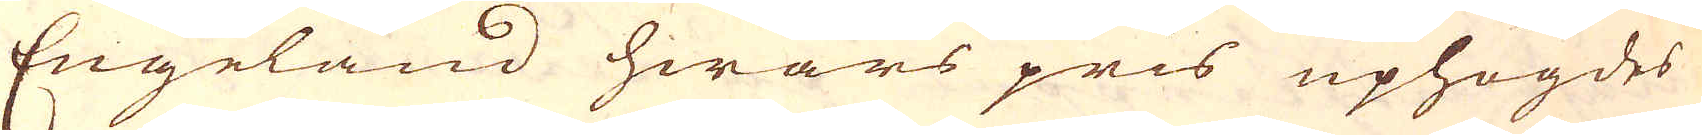Engeland hwars pris uphögdes
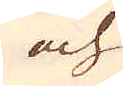och
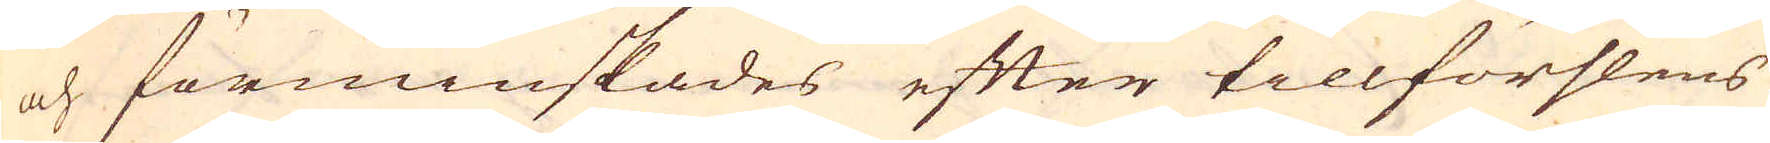och förminskades efter tillförslens
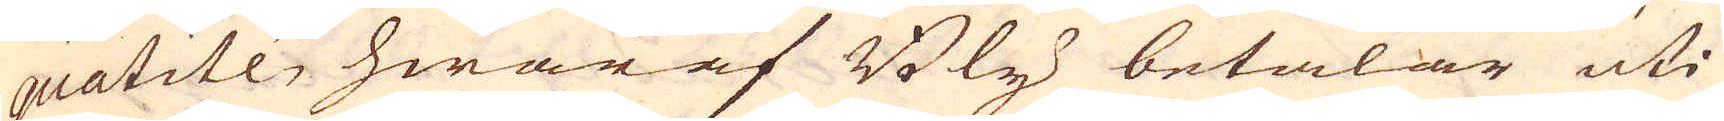quatité, hwaraf Bly betalar uti
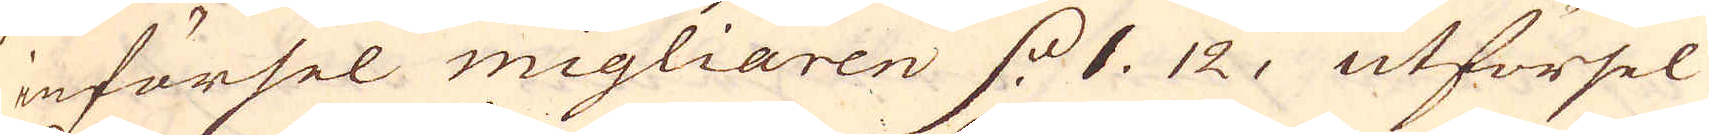införsel migliaren d. 1. 12, utförsel
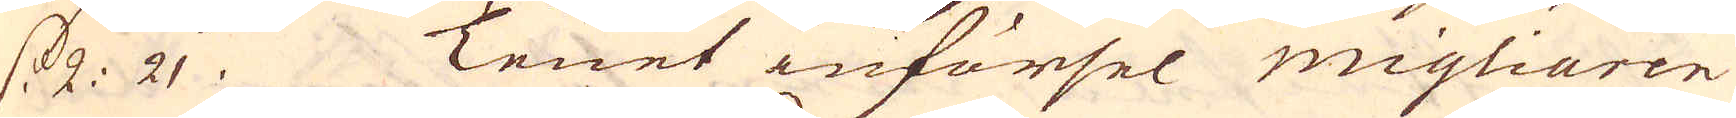d. 2: 21. Tenet införsel migliaren
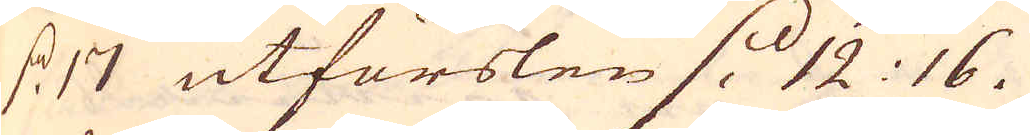d. 17 utförslen d. 12: 16.
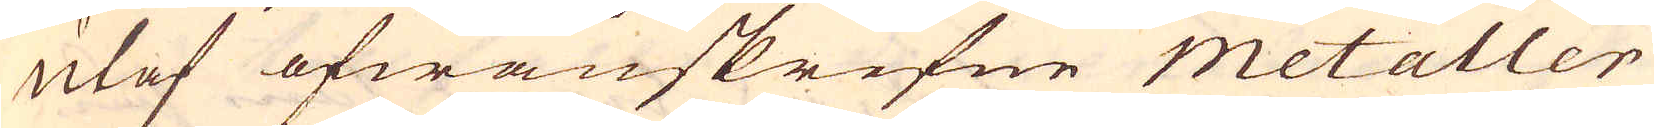Utaf ofwanskrefne metaller
